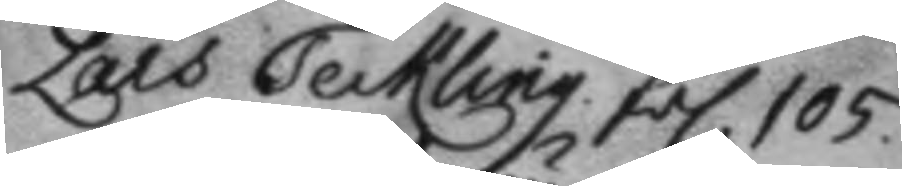Lars Teckling. fol 105.
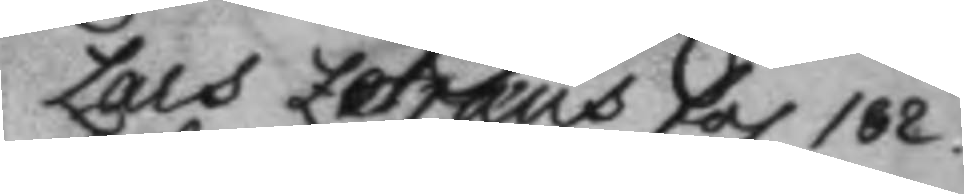Lars Zetræus fol 182.
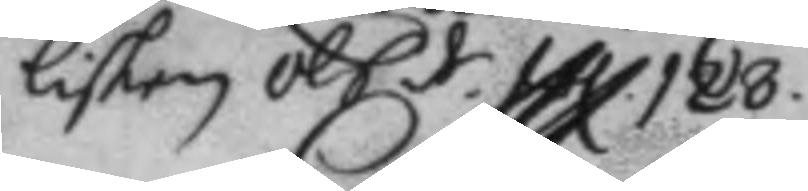Lisken Ols dr fol 128.
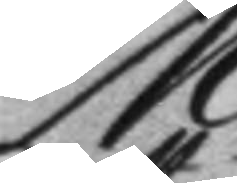M:
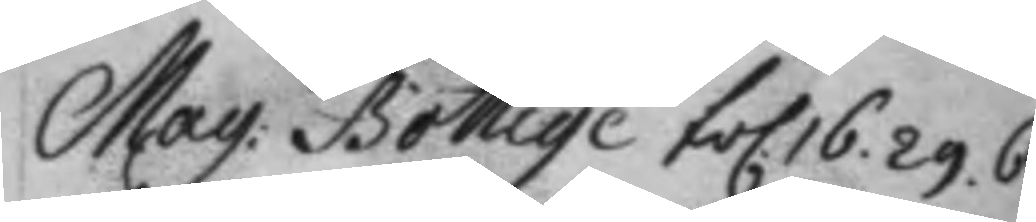Mag: Bottiqe fol. 16. 29. 62.
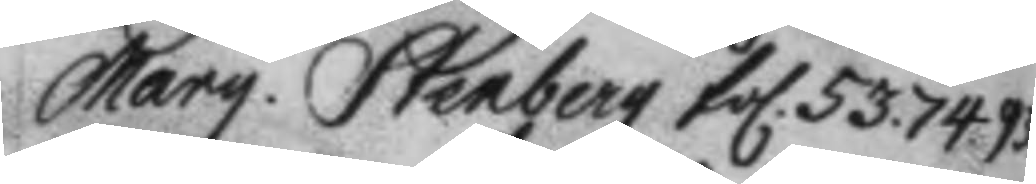Marg. Stenberg fol. 53. 74. 93.
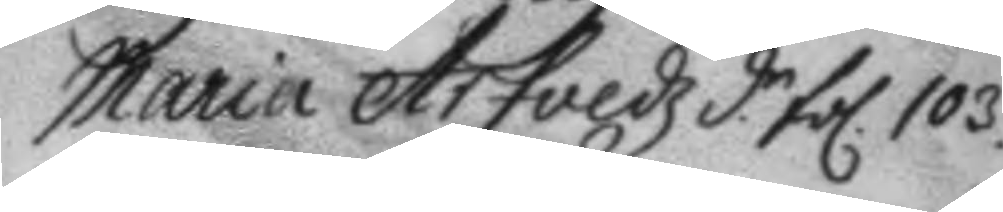Maria Arfvedz d.r fol 103.
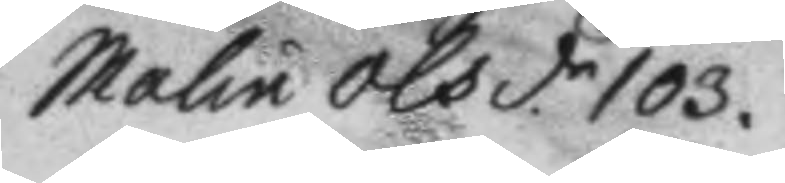Malin olsd.r 103
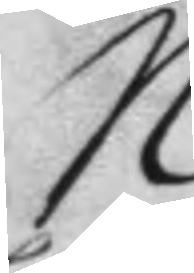N.
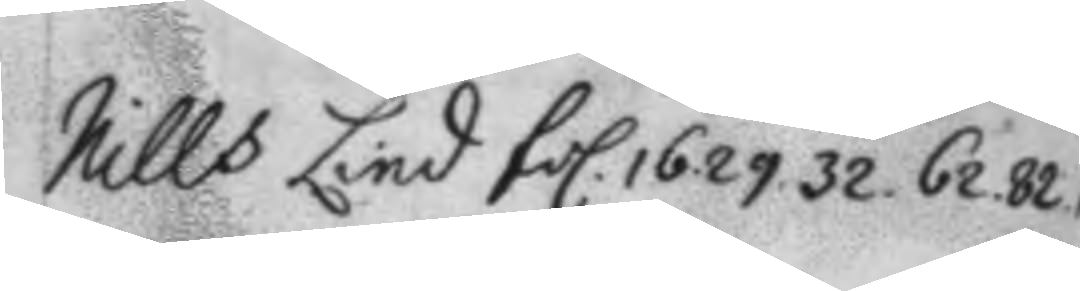Nills Lind fol. 16. 29. 32. 62. 82. 10
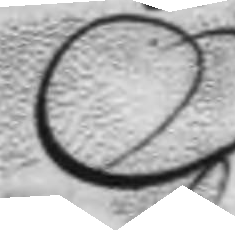O.
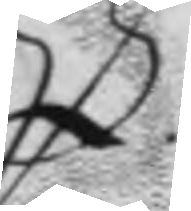P.
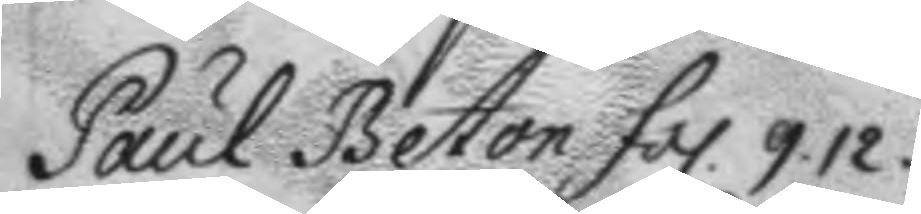Paul Betton fol. 9. 12.
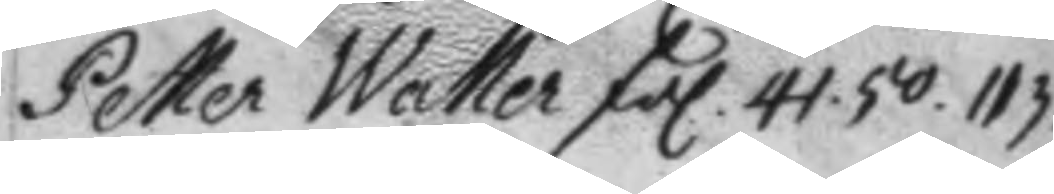Petter Waller fol. 44. 50. 113.
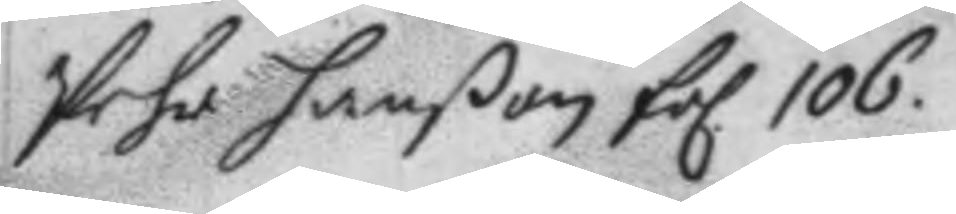Pehr hanßon fol 106.
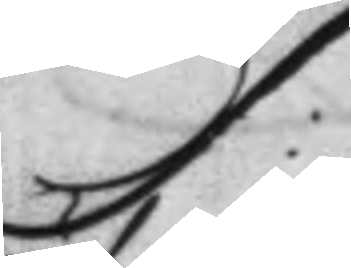S:
